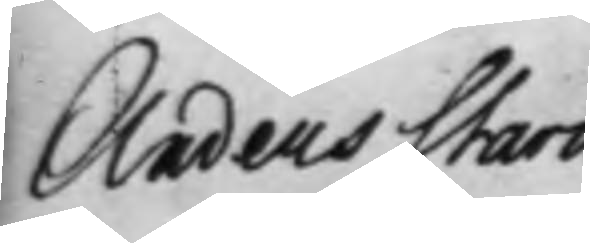Anders Starck 
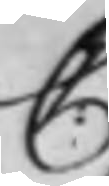C:
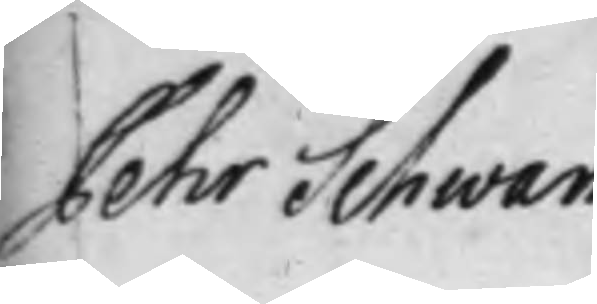Pehr Schwan
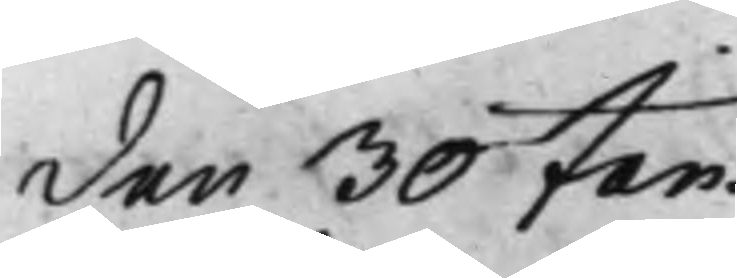den 30 Jan.
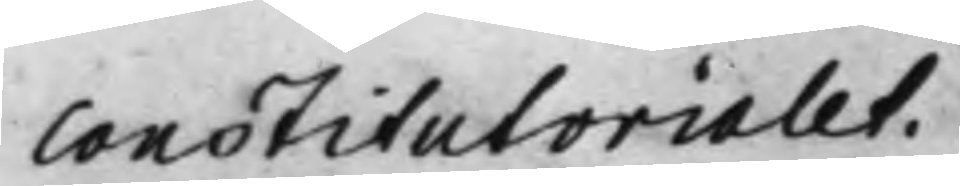Constitutorialet.
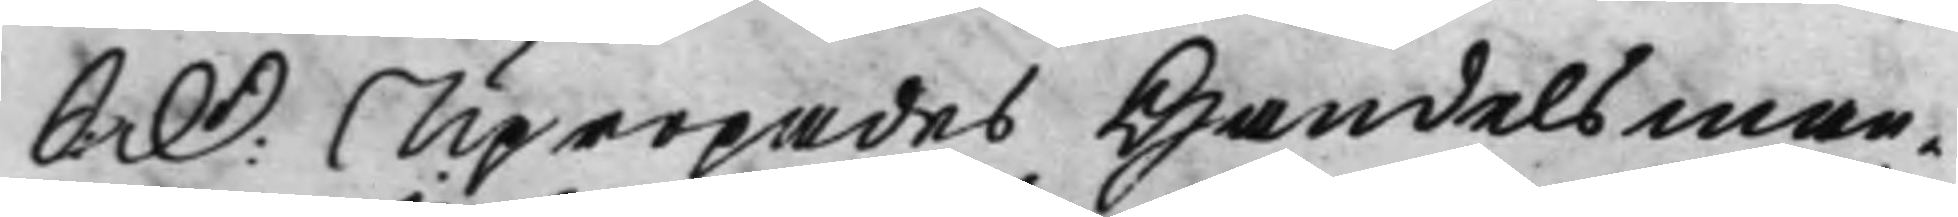S: D: Upropades Handelsman¬ 
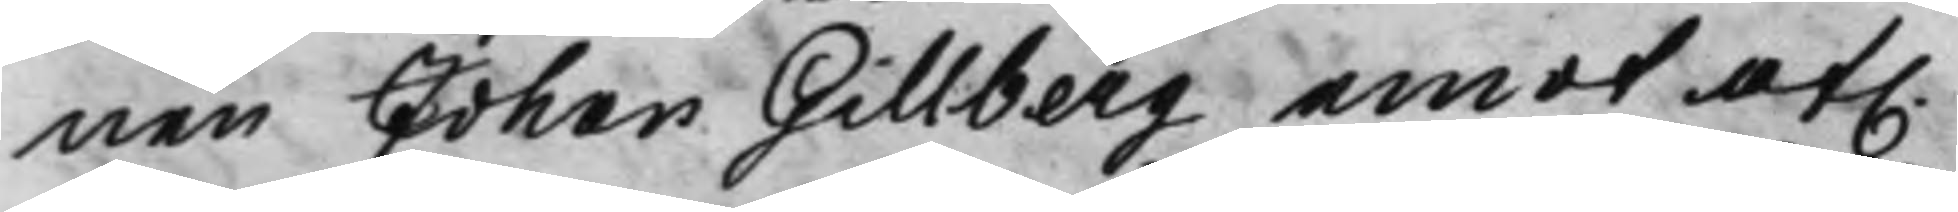nen Johan Gillberg emot af. 
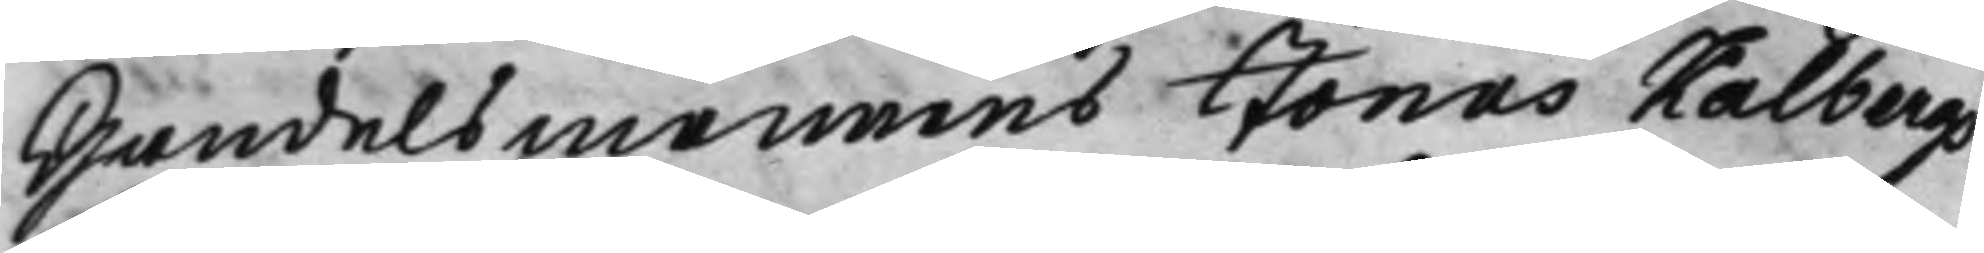Handelsmannens Jonas Kalbergs
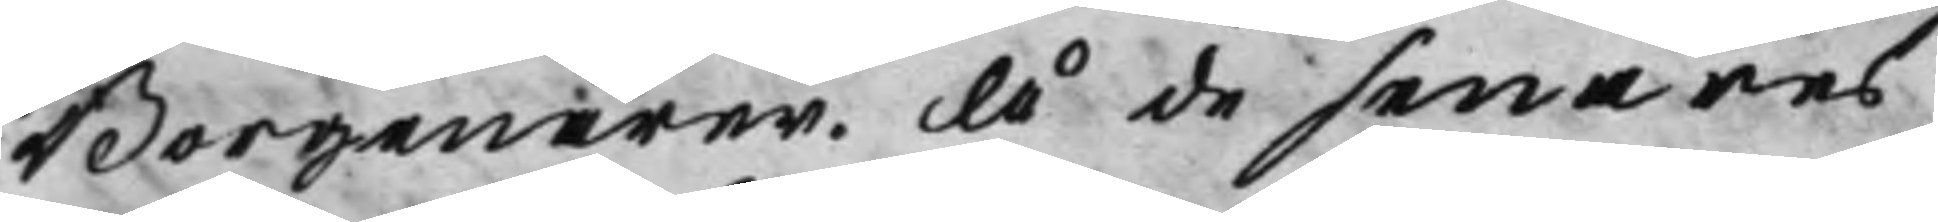Borgenärer. Å de senares¬
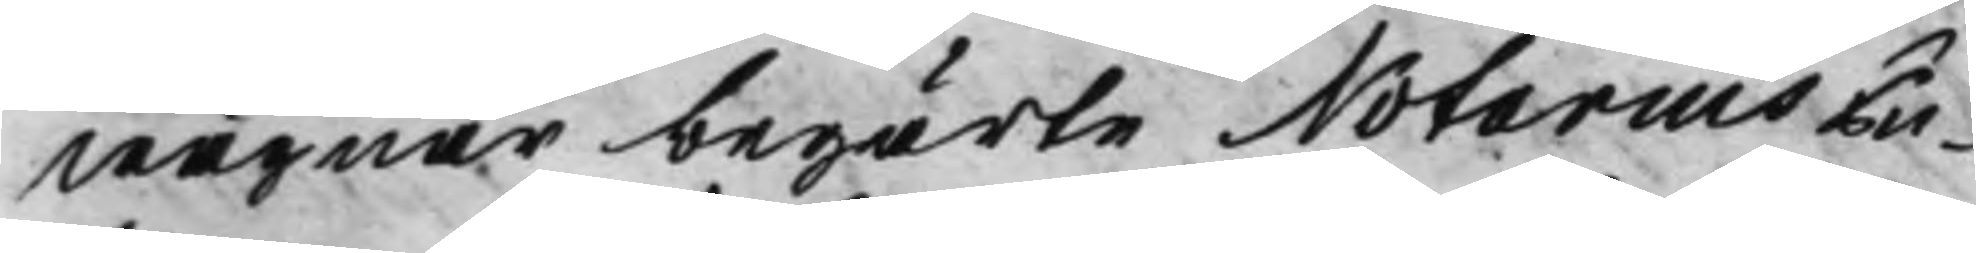wägnar begärte Notarius Pu¬
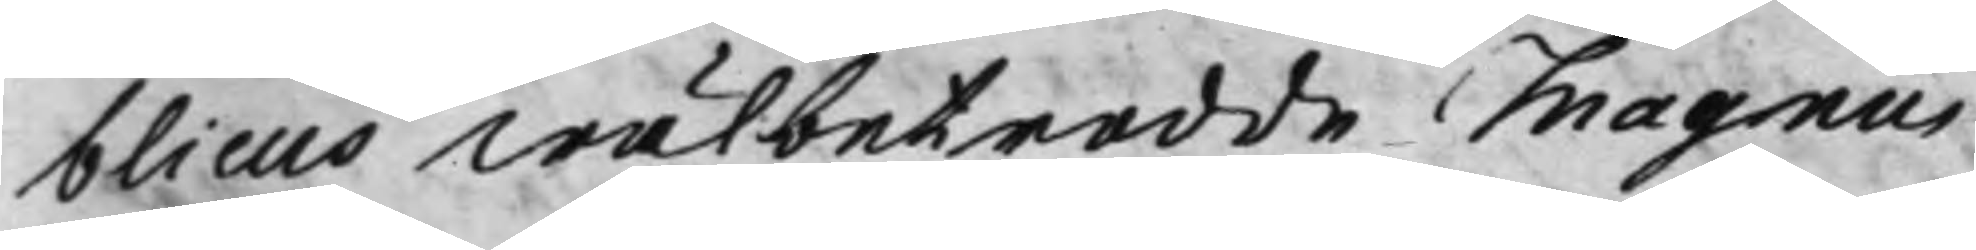blicus Wälbetrodde Magnus
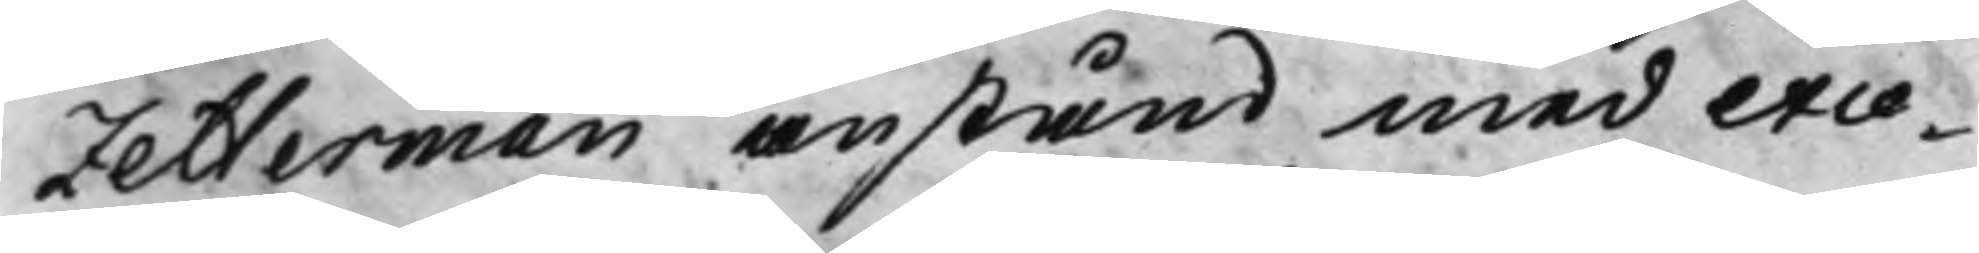Zetterman anstånd med exce¬
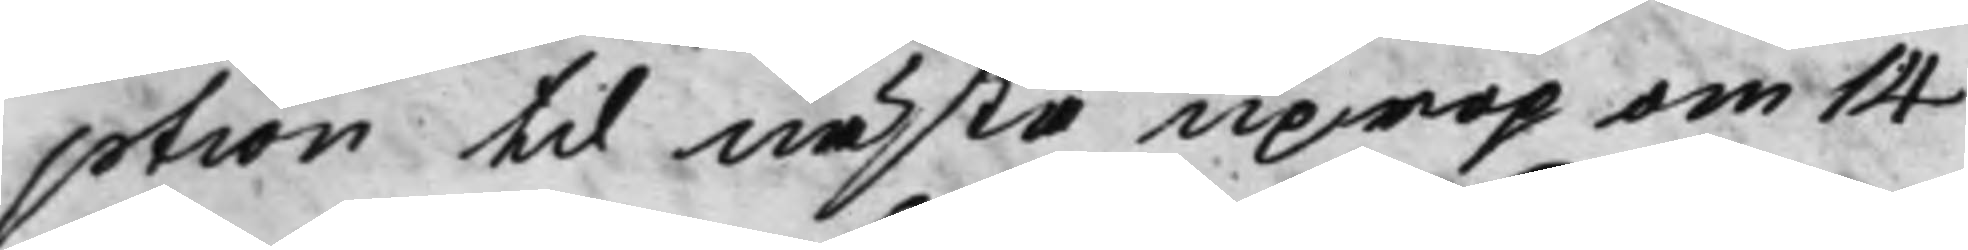ption til nästa uprop om 14
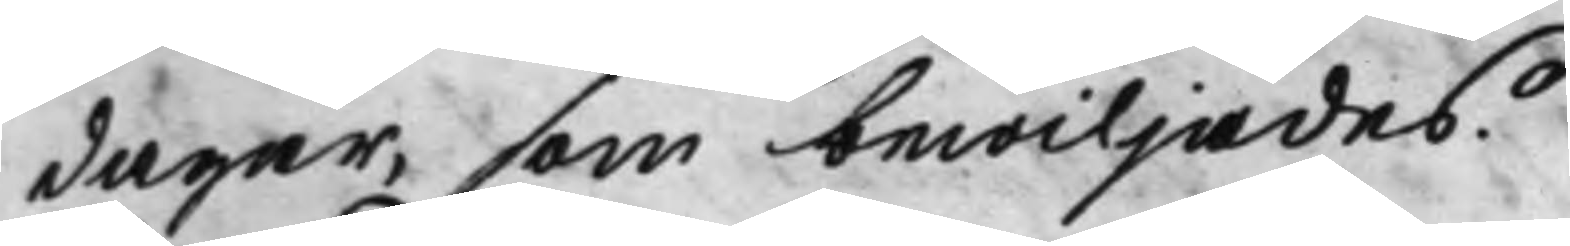dagar, som bewiljades.
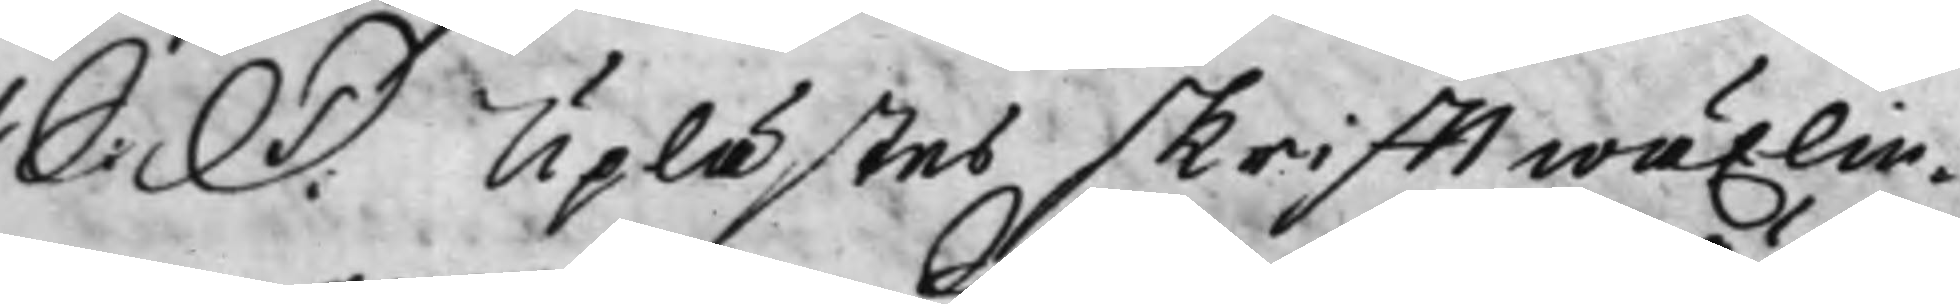S: D: Uplästes skrifftwäxlin¬ 
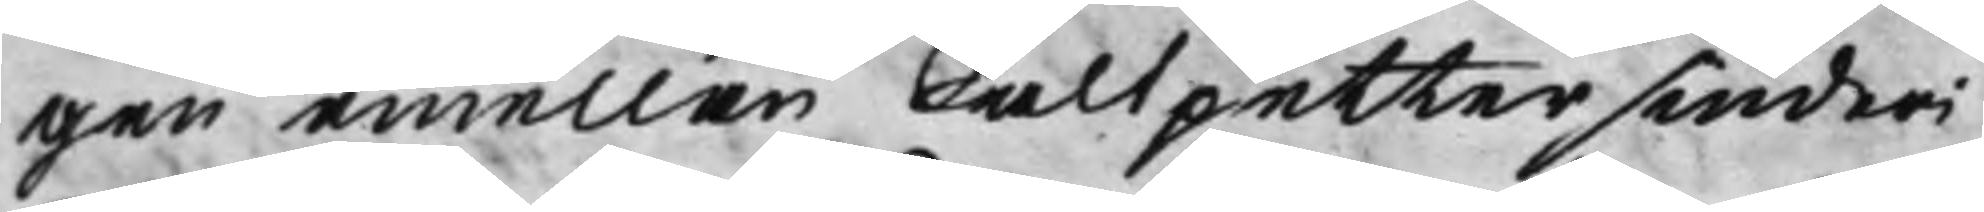gen emellan Saltpettersiuderi
